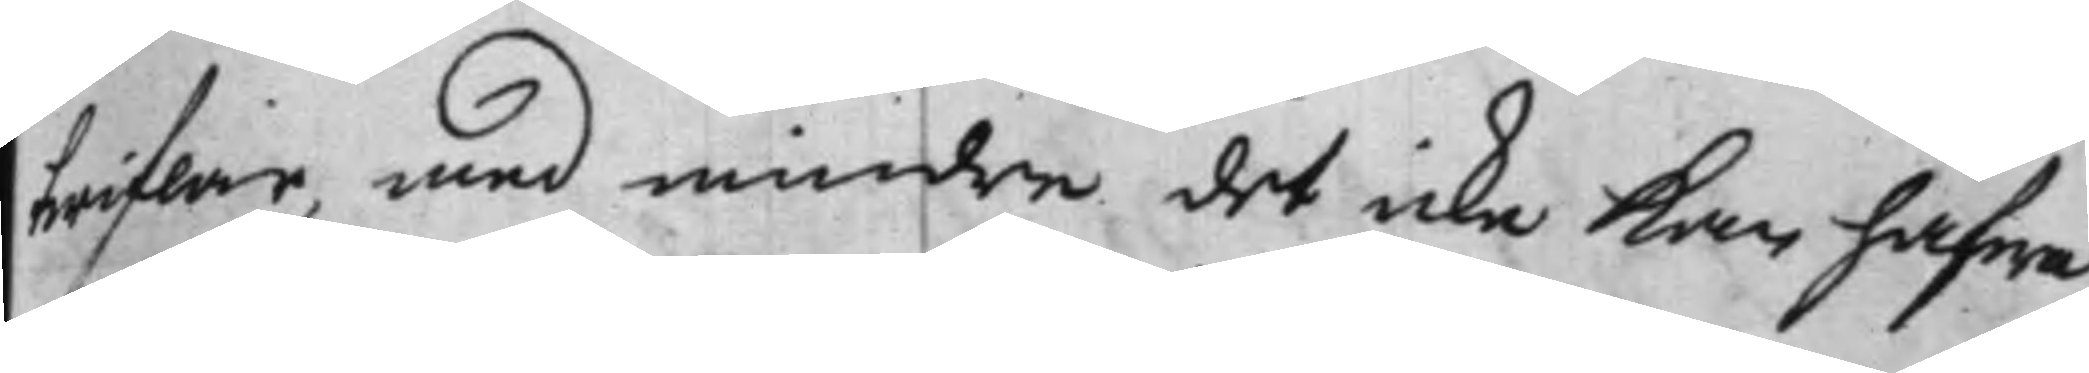twiflar, med mindre det icke kan hafwa
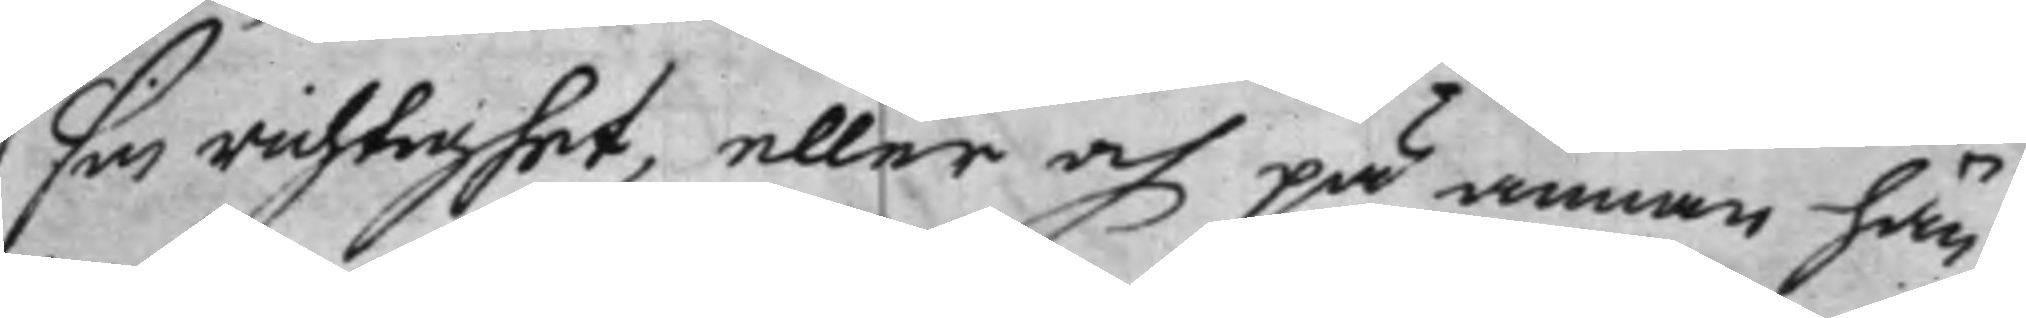sin richtighet, eller och på annan hän¬
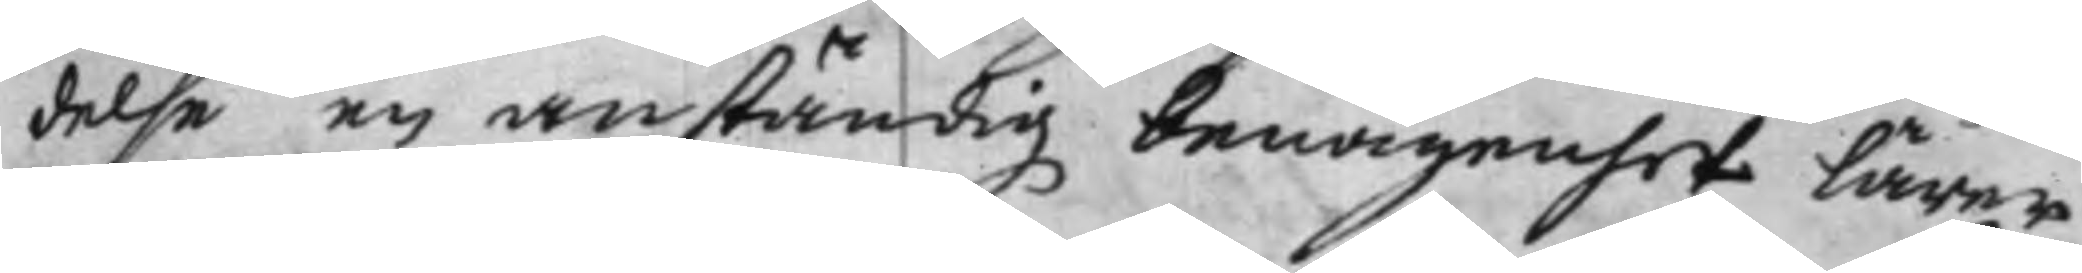delse en anständig benägenhet lärer
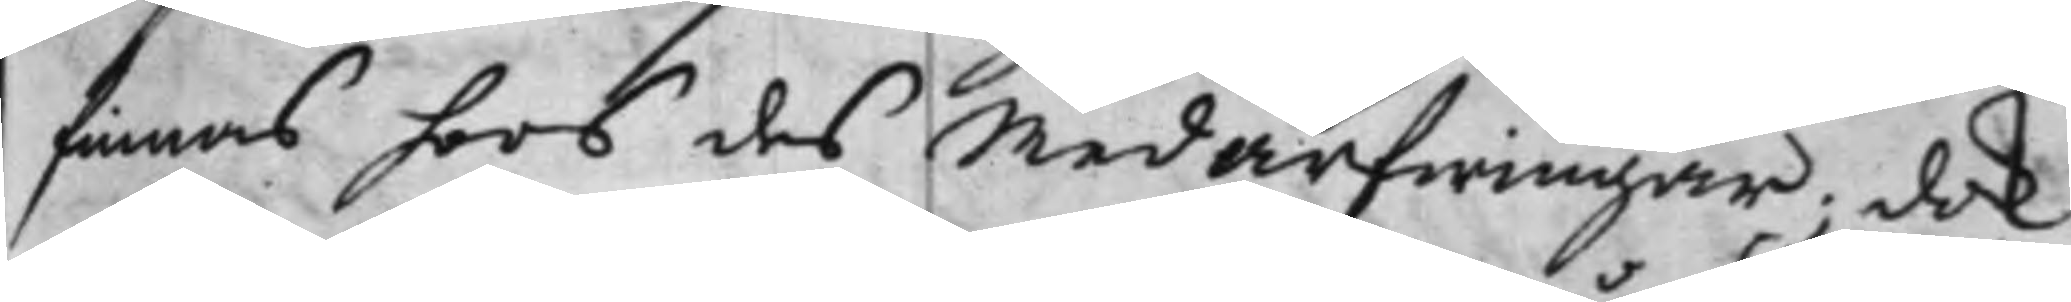finnas hoos des Medarfwingar; dok
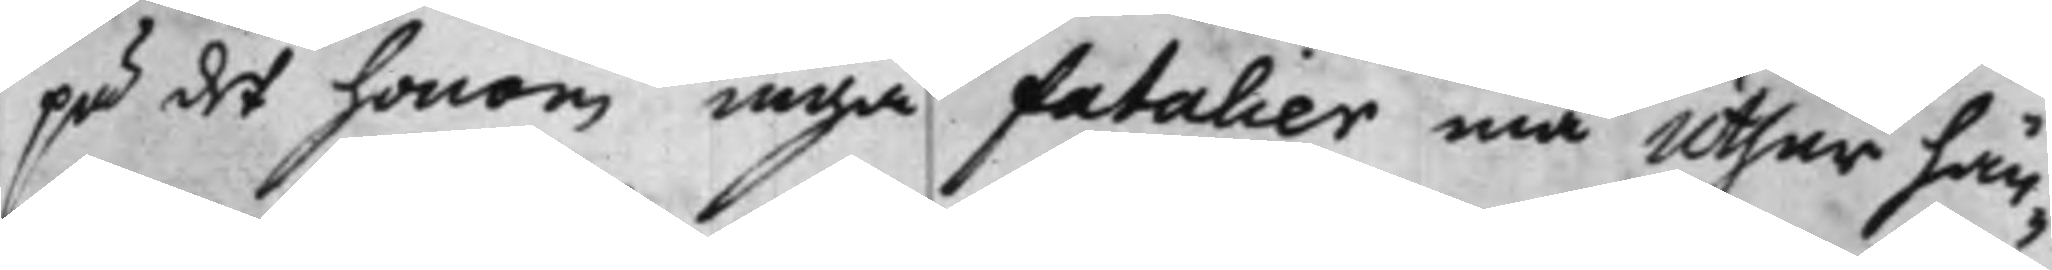på det honom inga fatalier må Uthur hän¬
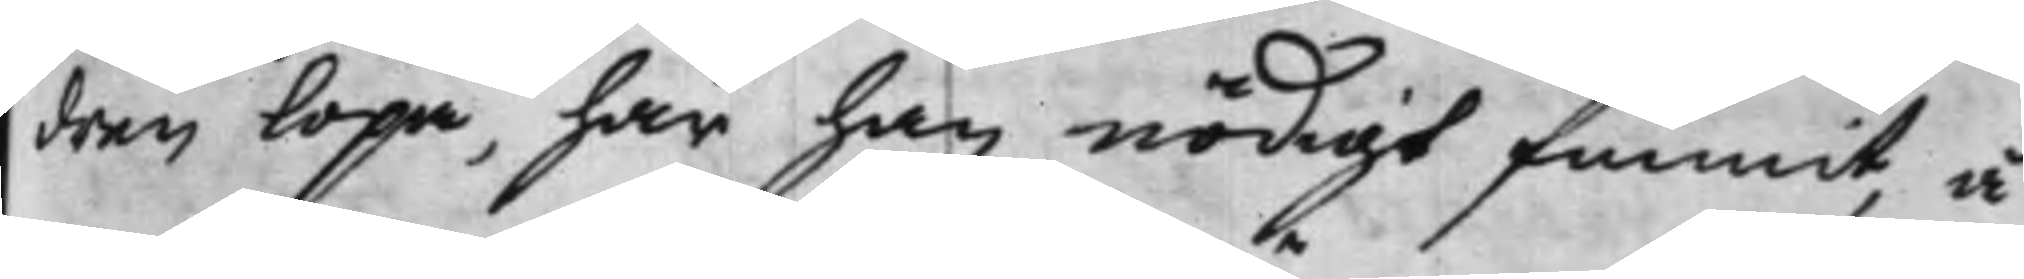dren löpa, har han nödigt funnit, å
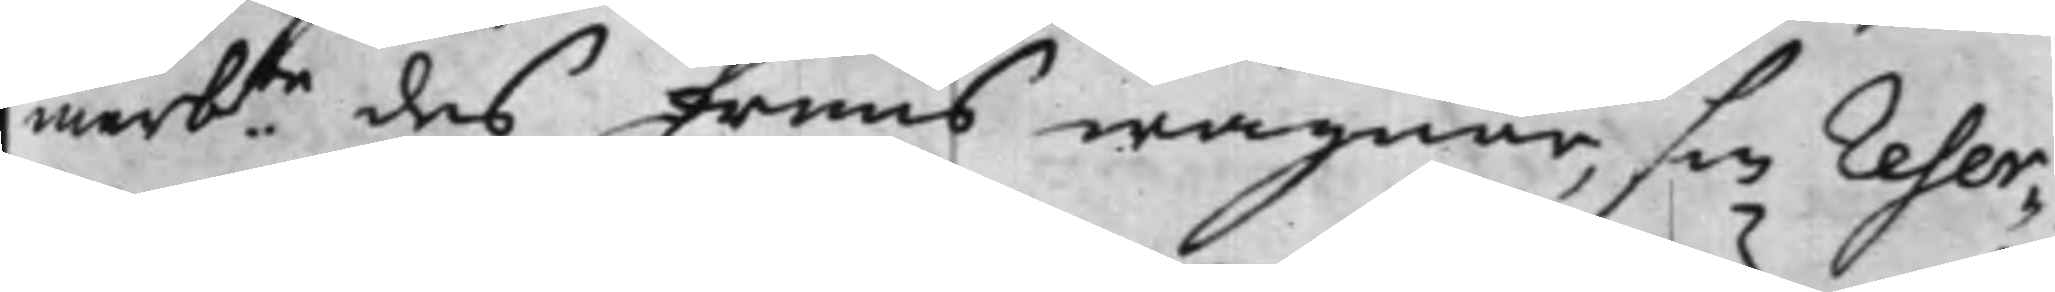merb.te des fruus wägnar, sin Reser¬
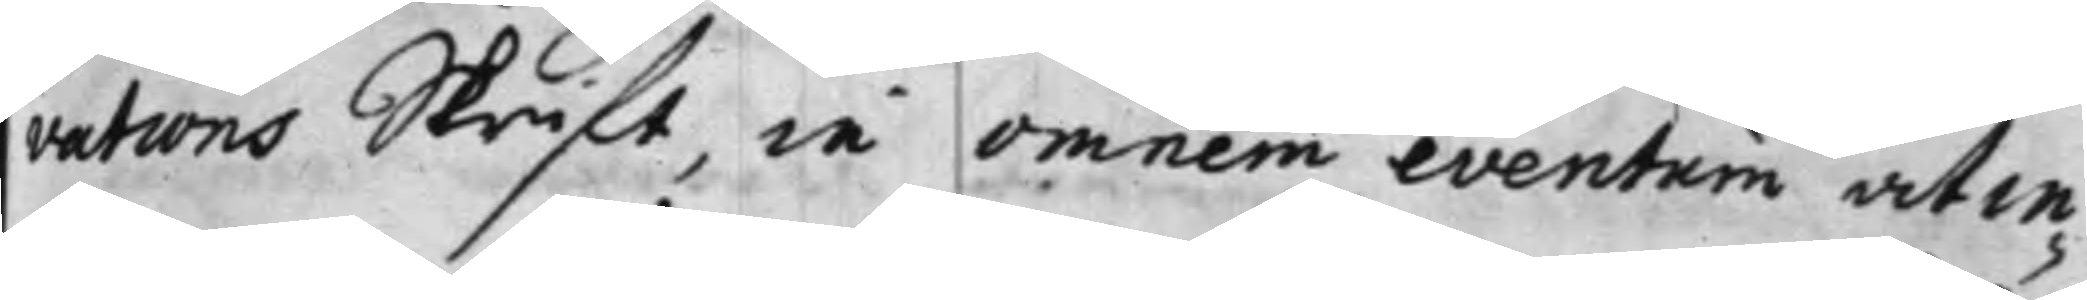vations Skrift, in omnem eventum at in¬
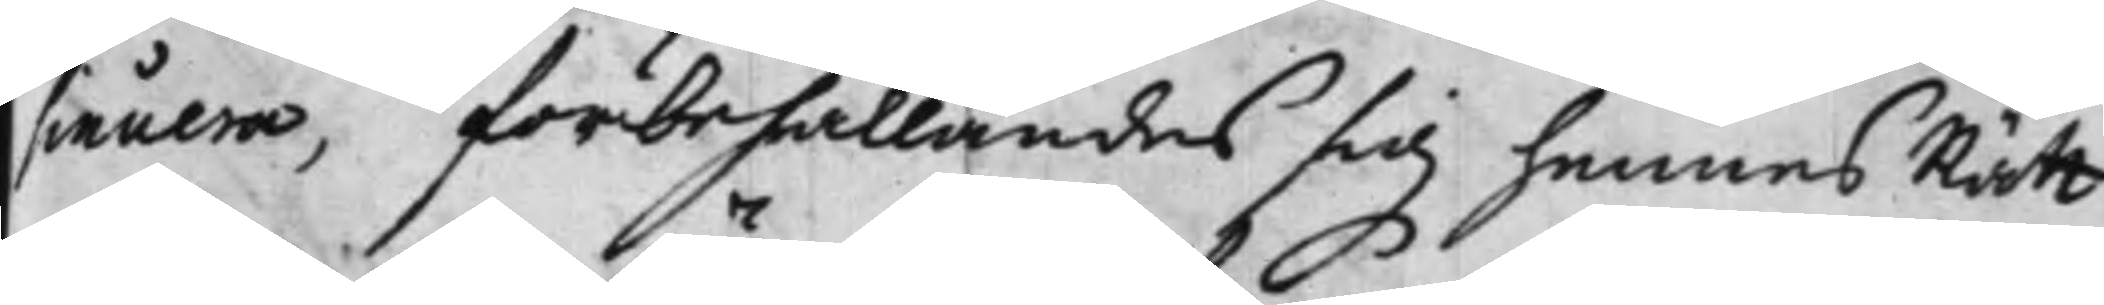sinuera, förbehållandes sig hennes Rätt
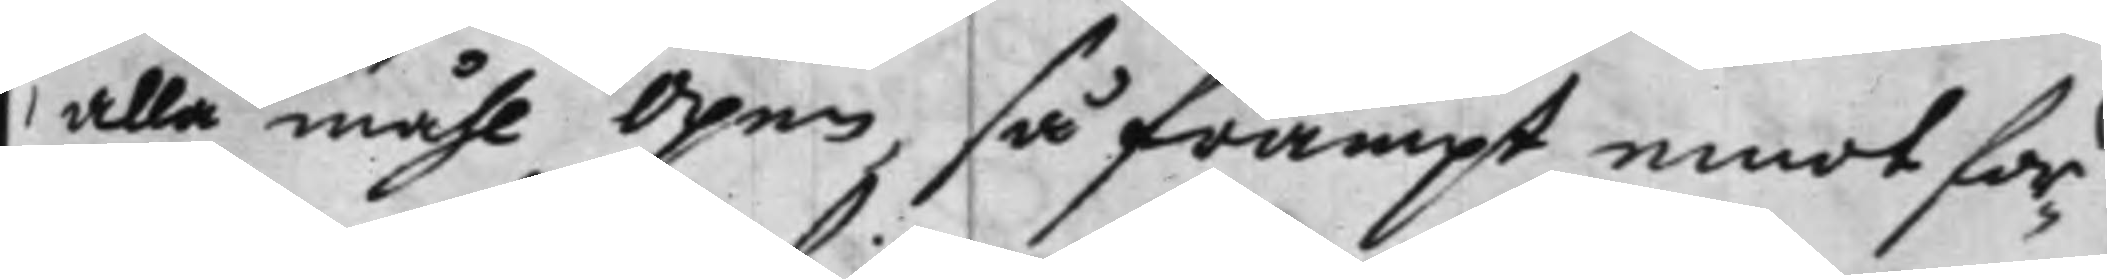alla måhl Öpen, så frampt emot för¬
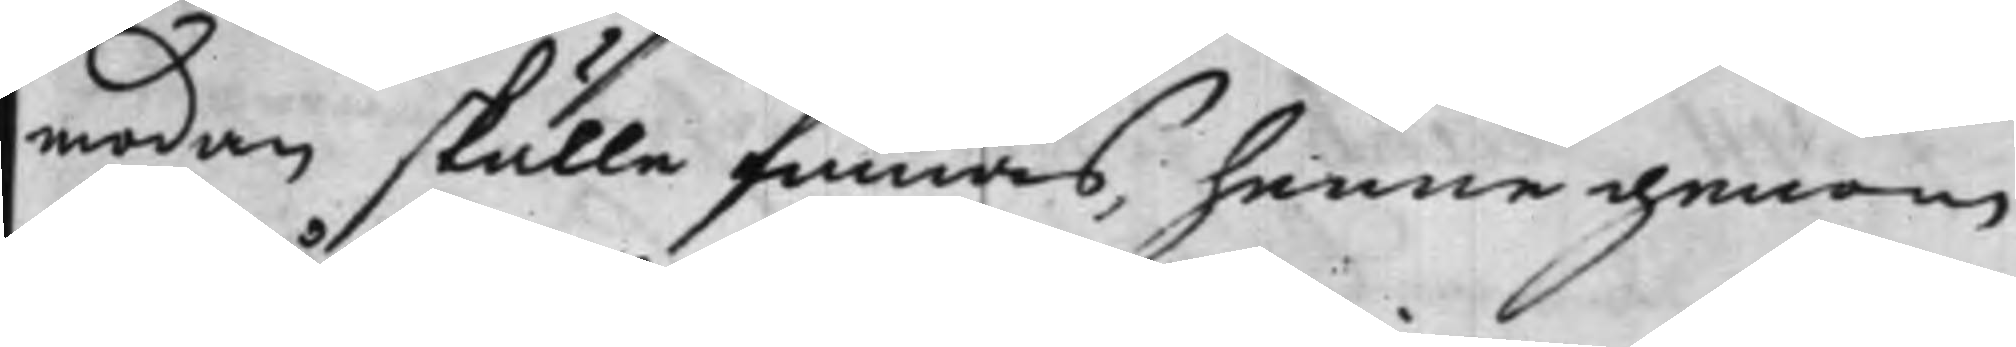modan skulle finnas, henne genom
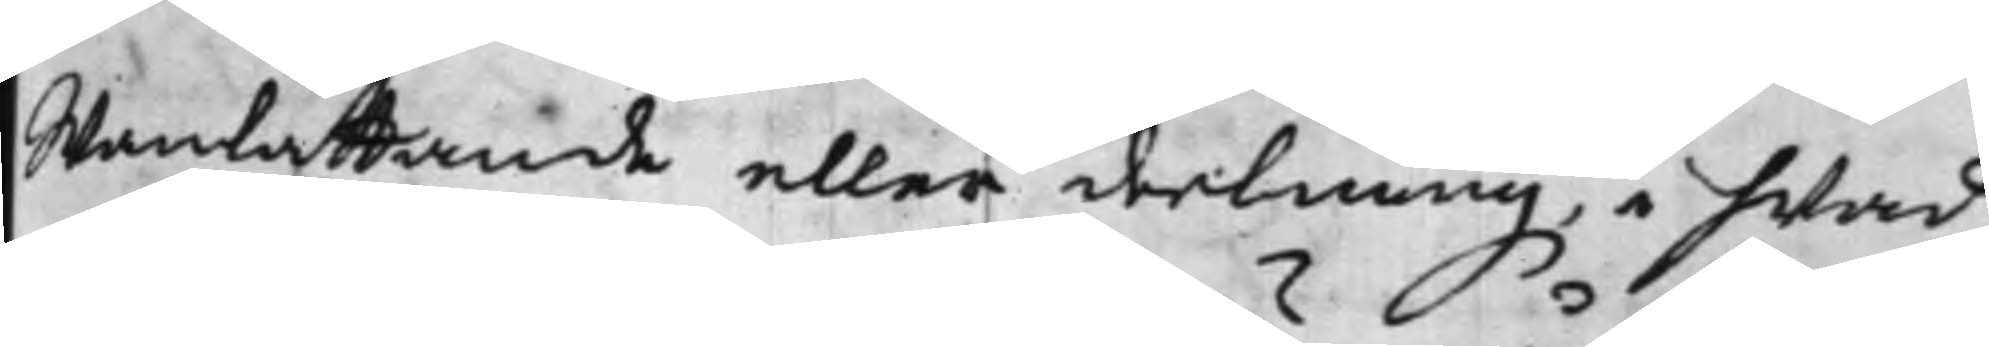Wanlåttande eller deelning, hwad
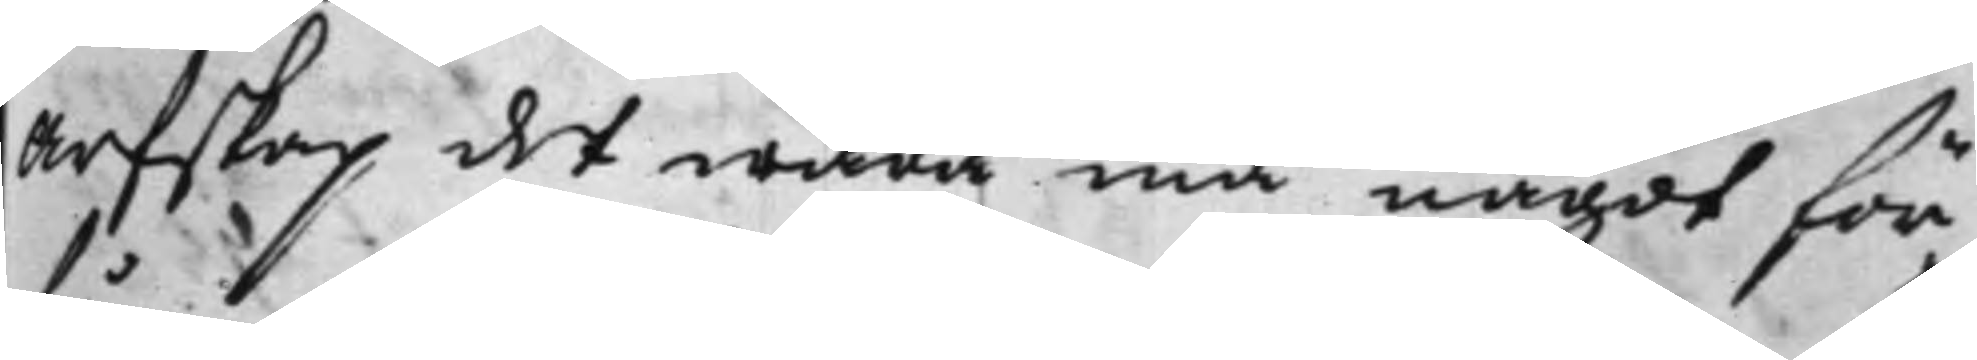Arfskap det wara må något för¬
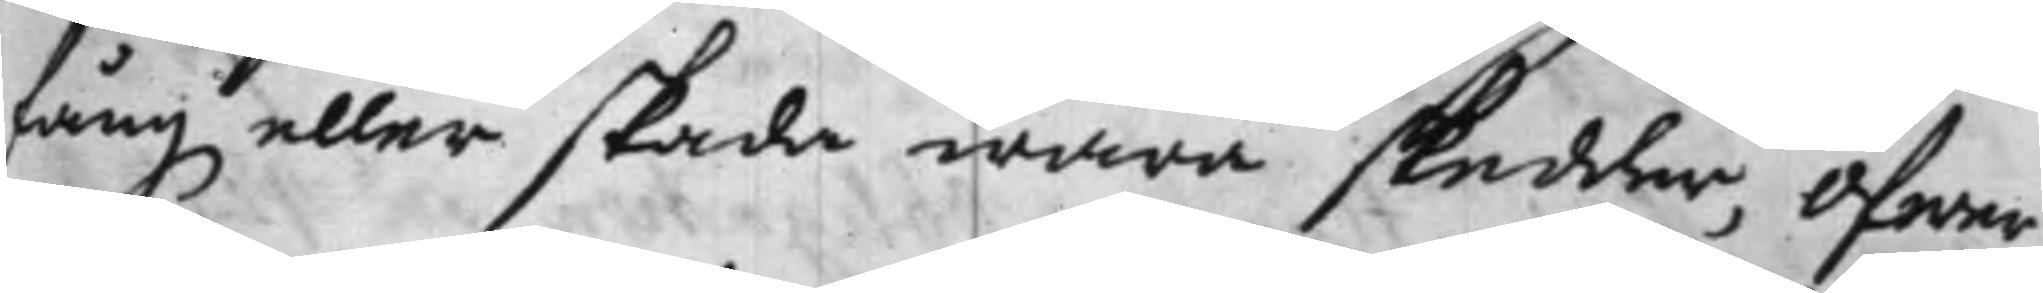fång eller skada wara skedder, öfwer
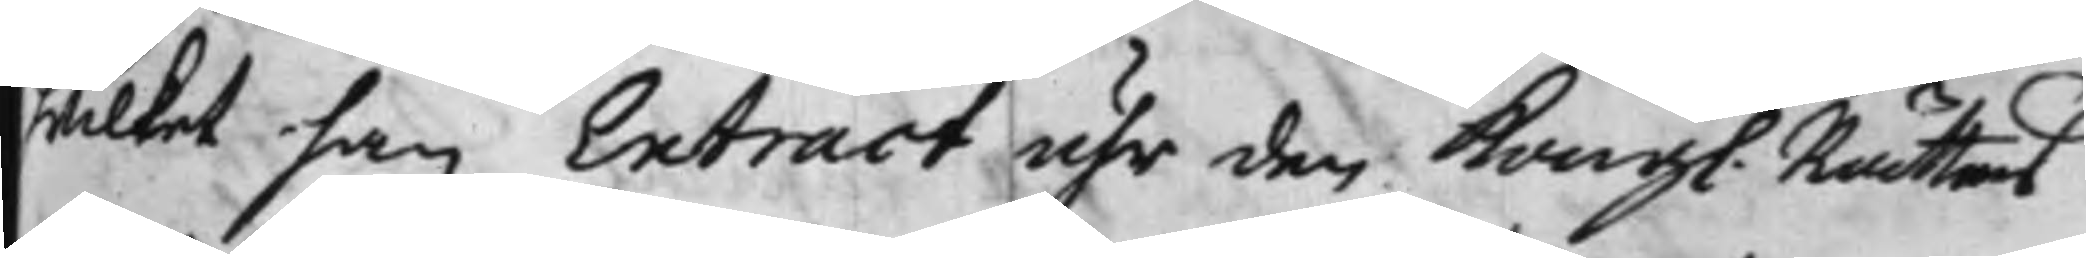hwilket han Extract uhr den Kongl. Rättens
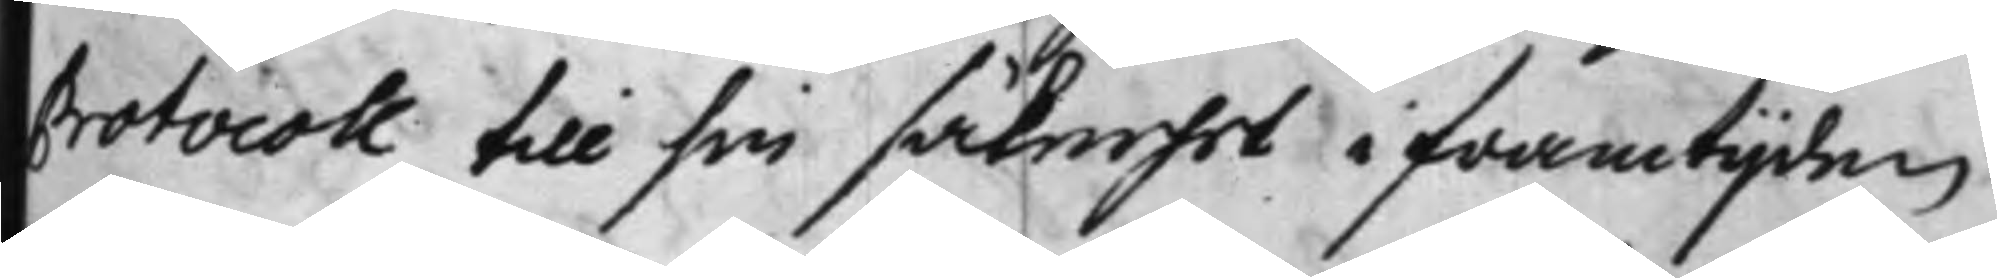Protocoll till sin säkerhet i framtijden
